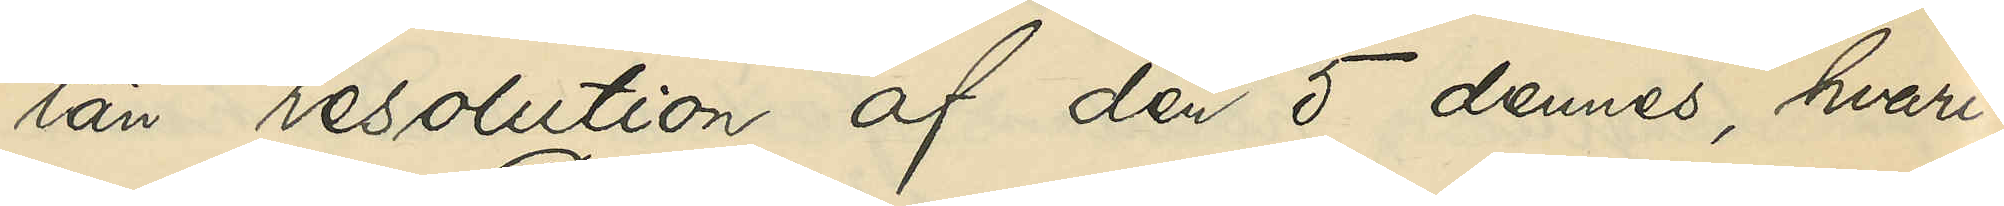län resolution af den 5 dennes, hvari¬
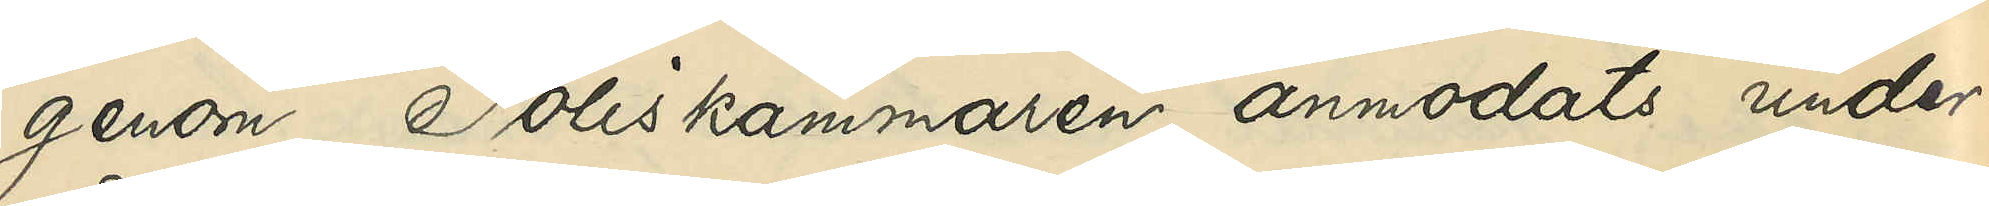genom Poliskammaren anmodats under¬
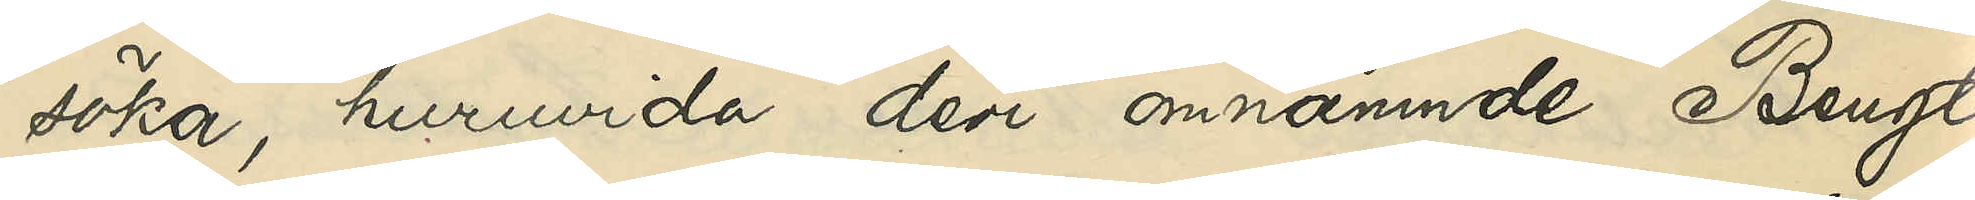söka, huruvida den omnämnde Bengt
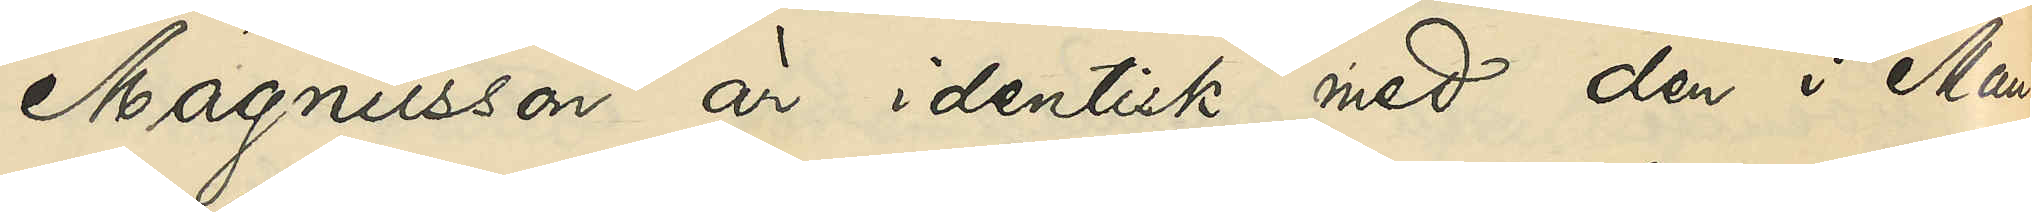Magnusson är identisk med den i Man¬
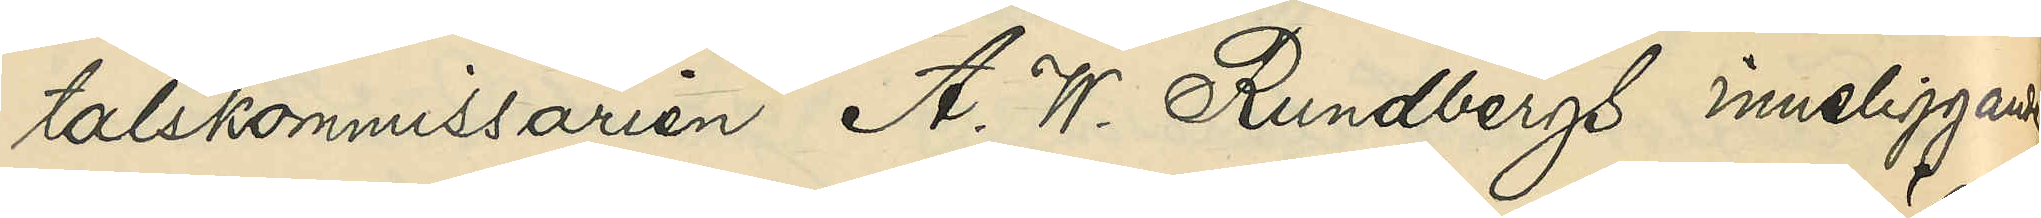talskommissarien A. W. Rundbergs inneliggande
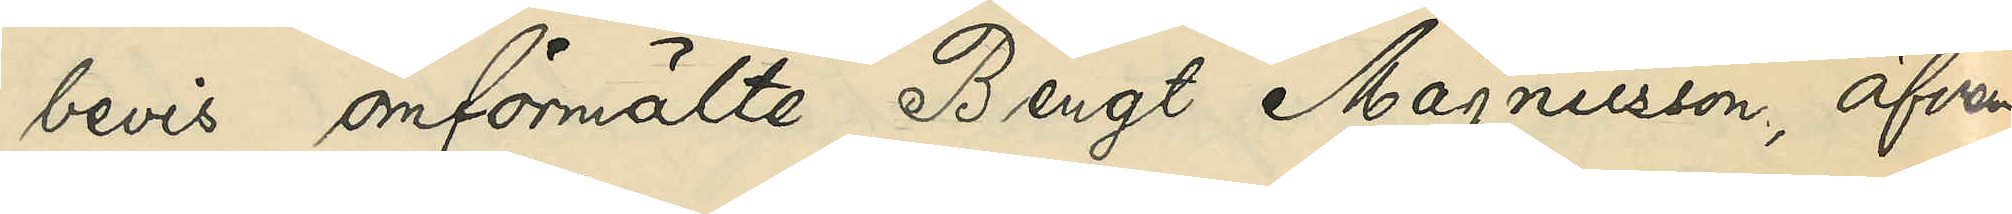bevis omförmälte Bengt Magnusson, äfven¬
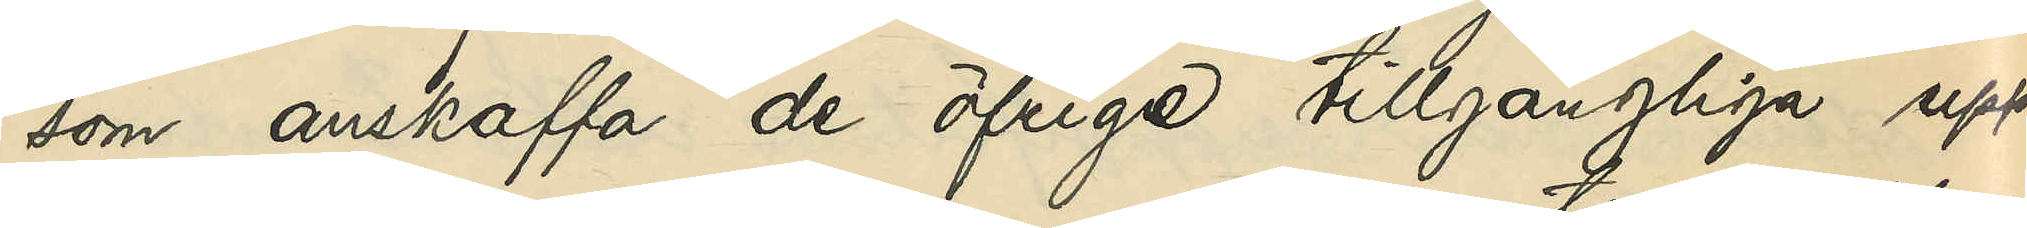som anskaffa de öfrige tillgängliga upp¬
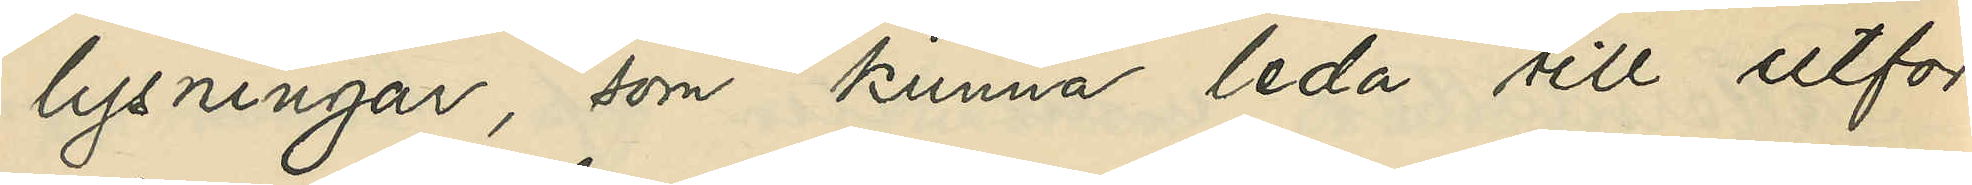lysningar, som kunna leda till utfor¬
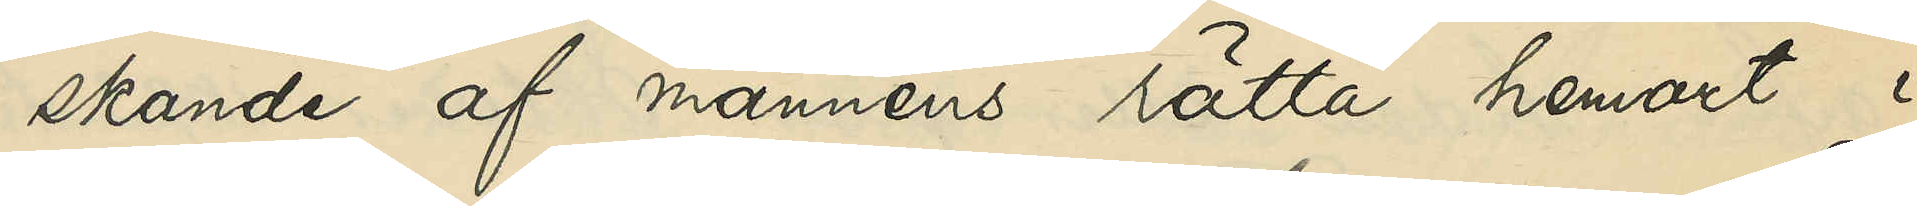skande af mannens rätta hemort i
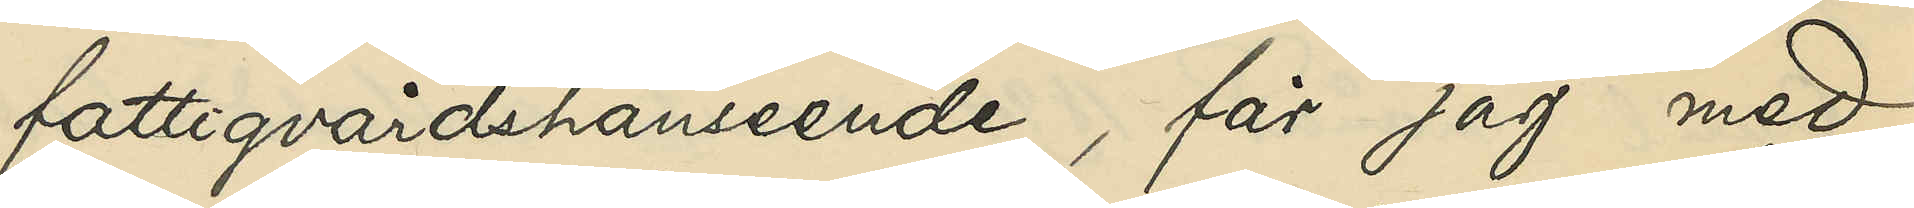fattigvårdshänseende, får jag med
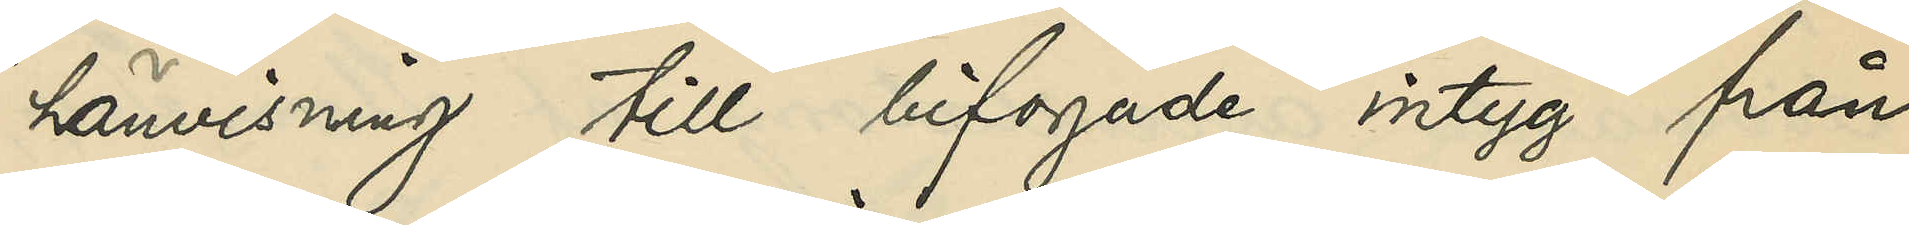hänvisning till bifogade intyg från
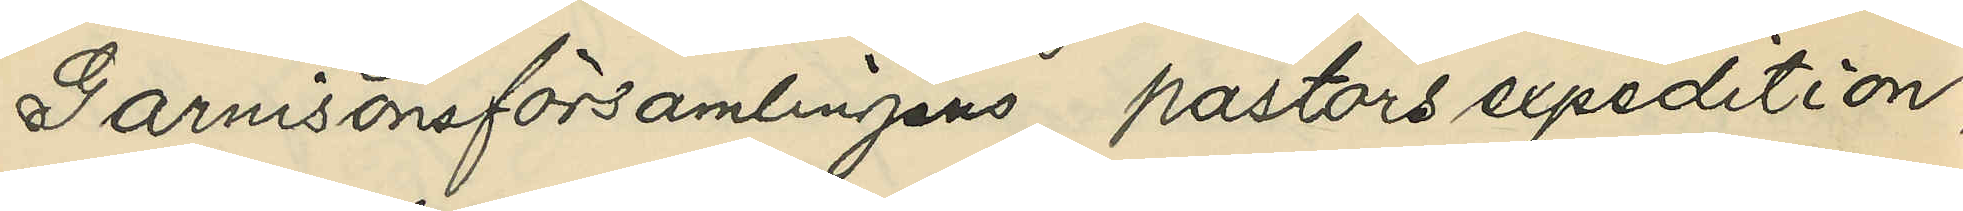Garnisonsförsamlingens pastorsexpedition,
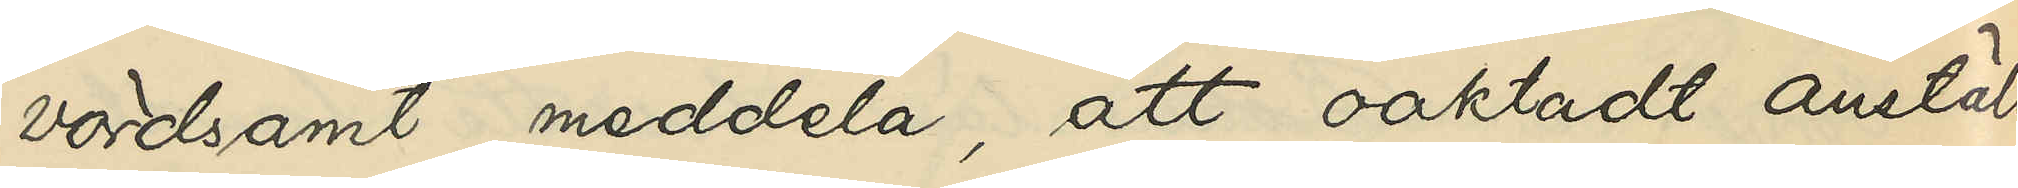vördsamt meddela, att oaktadt anställde
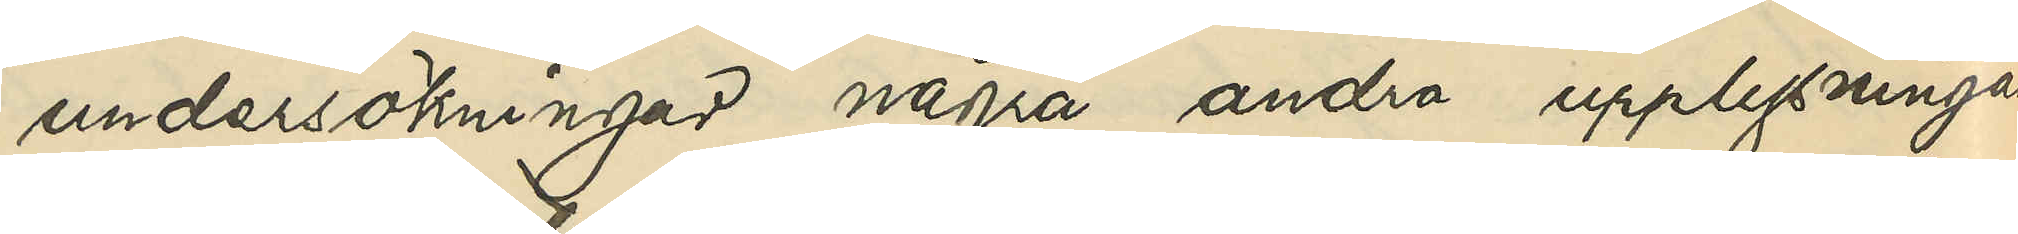undersökningar några andra upplysningar
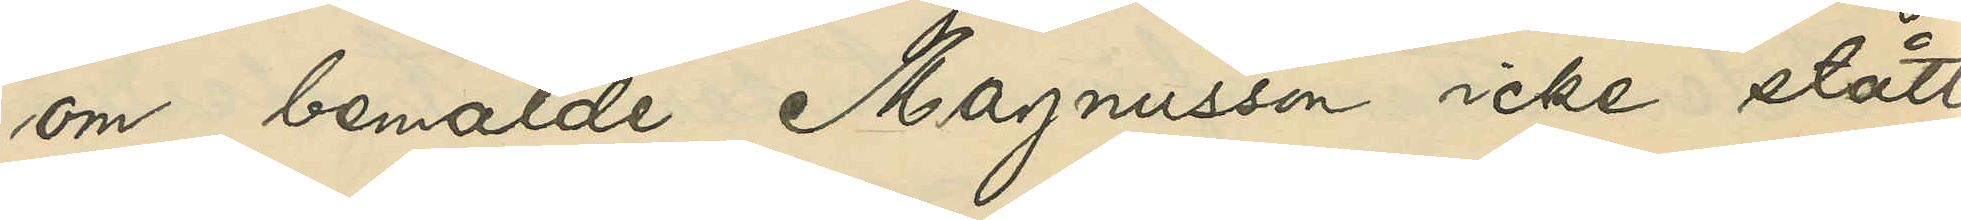om bemälde Magnusson icke stått
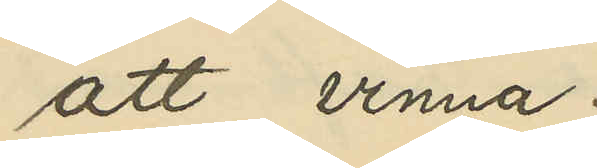att vinna.
